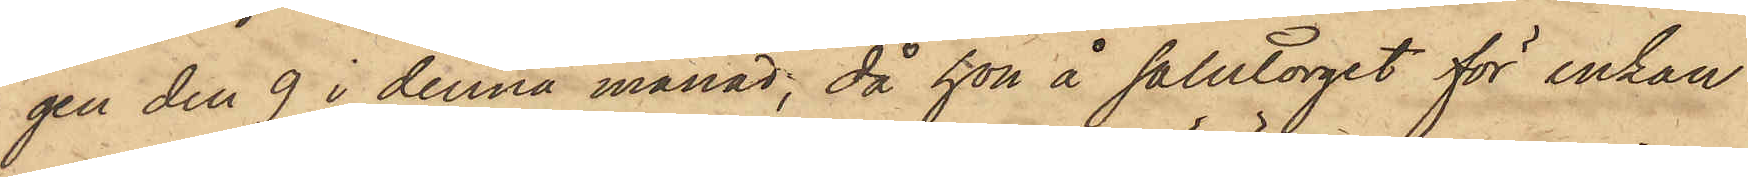gen den 9 i denna månad, då hon å salutorget för enkan
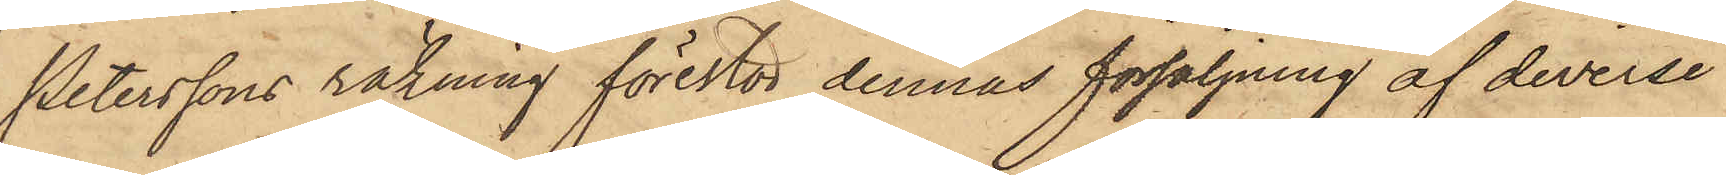Peterssons räkning förestod dennas försäljning af diverse
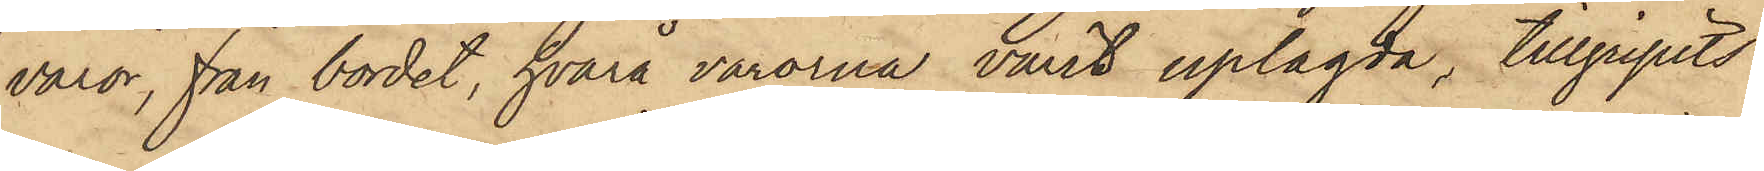varor, från bordet, hvarå varorna varit uplagda, tillgripits
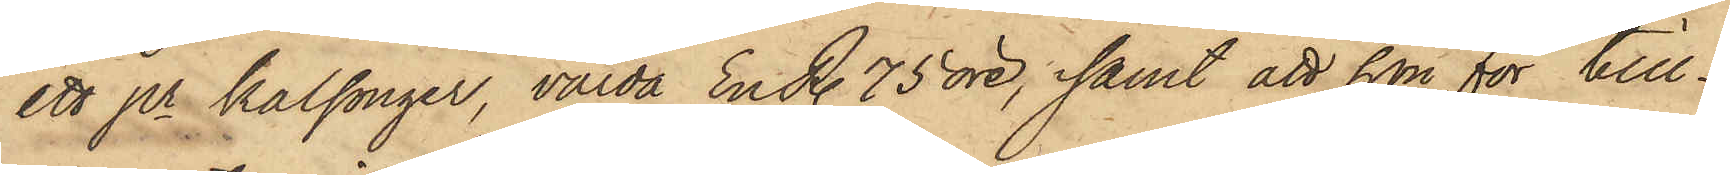ett pr kalsonger, värda En R. 75 öre; samt att hon för till¬
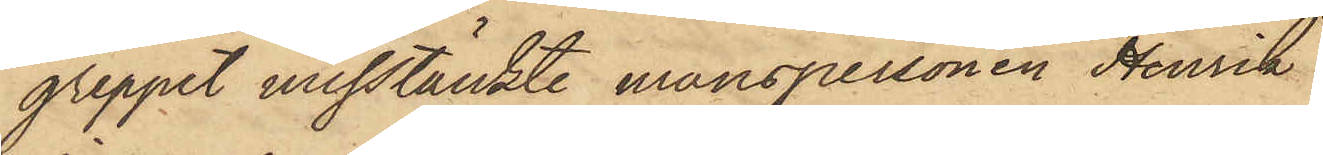greppet misstänkte manspersonen Henrik
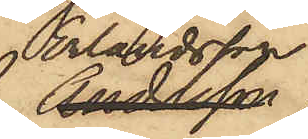Erlandsson
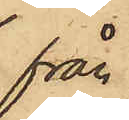från
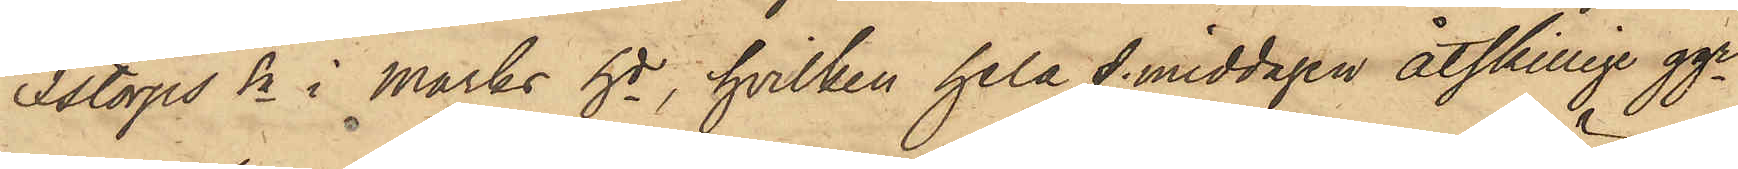Istorps Sn i Marks hd, hvilken hela f. middagen åtskillige ggr
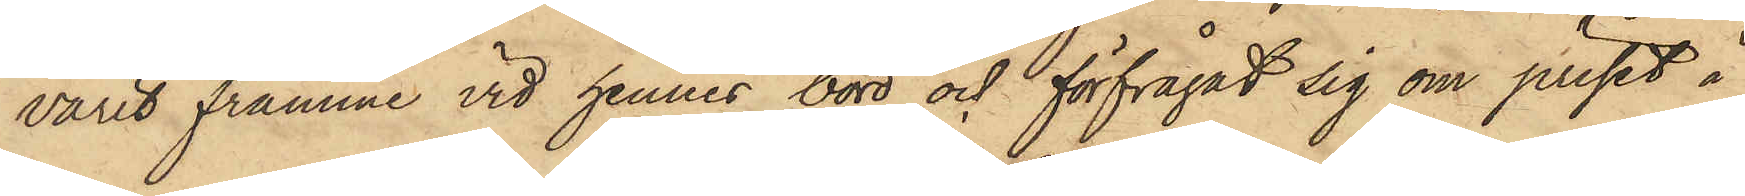varit framme vid hennes bord och förfrågat sig om priset å
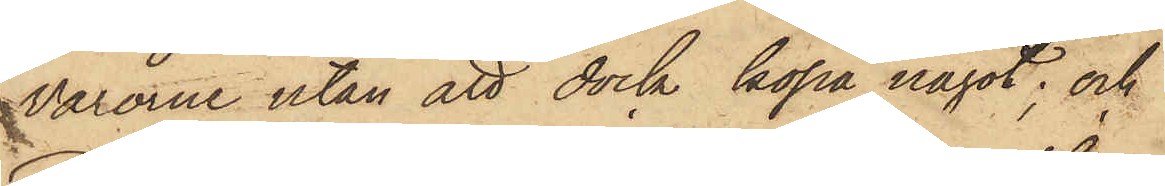varorne utan att dock köpa något; och
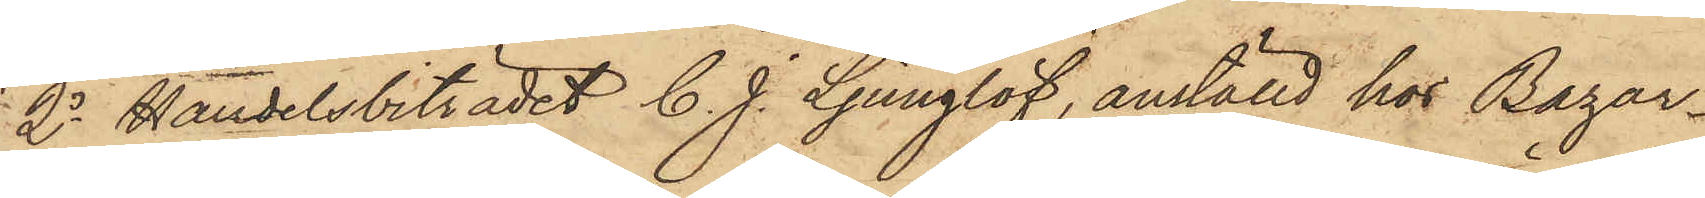2o Handelsbiträdet C. J. Ljunglöf, anställd hos Bazar¬
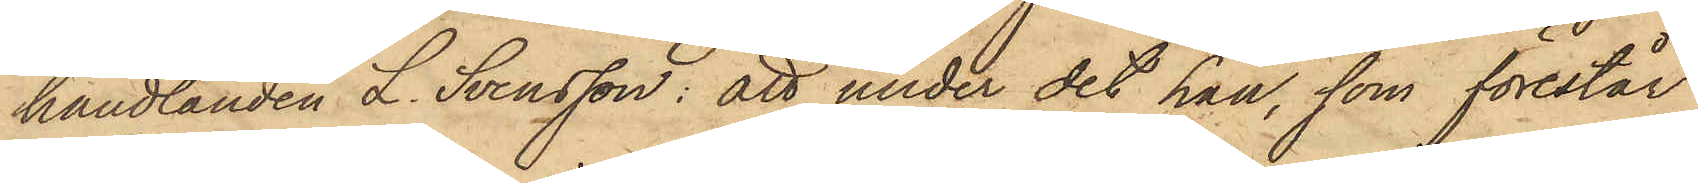handlanden L. Svensson: att under det han, som förestår
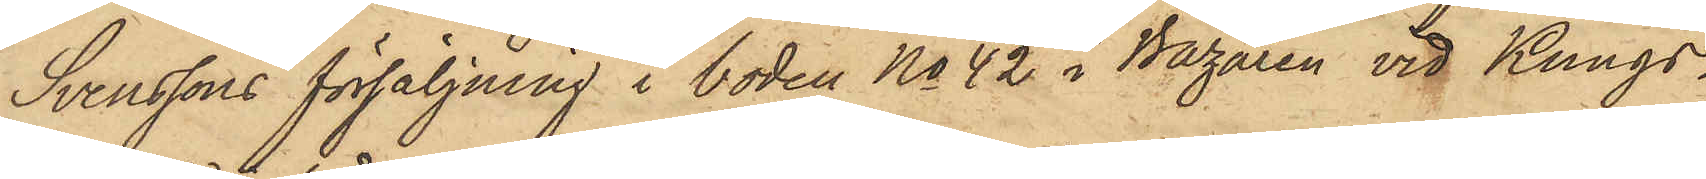Svenssons försäljning i boden No 42 i Bazaren vid Kungs¬
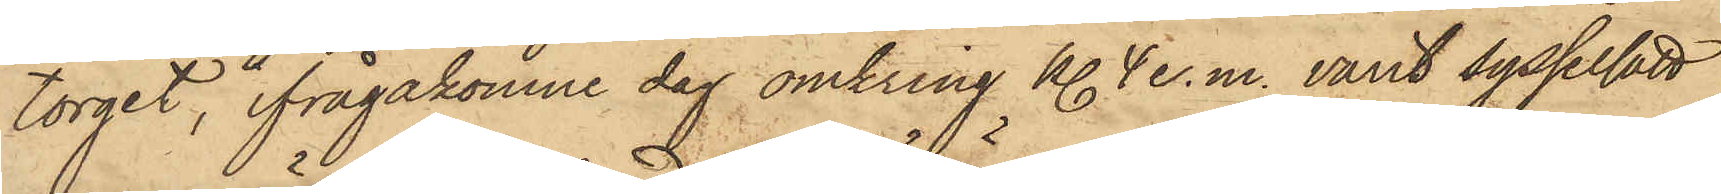torget, ifrågakomne dag omkring kl. 4 e. m. varit sysselsatt
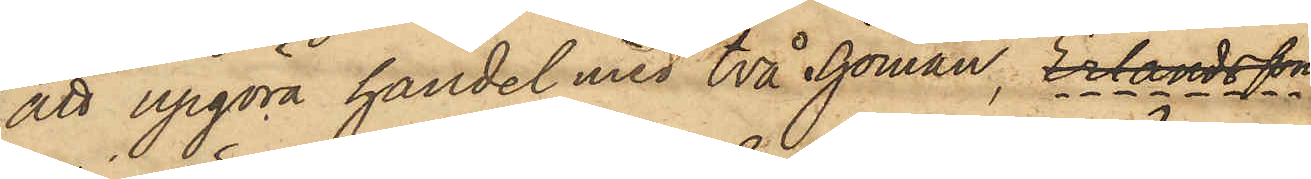att upgöra handel med två Sjömän, Erlandsson
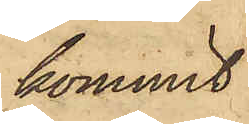kommit
